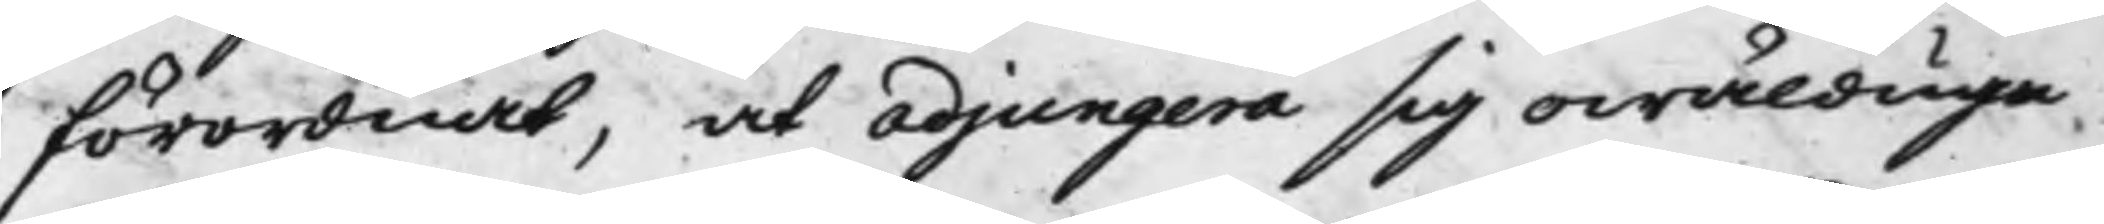förordnadt, at adjungera sig owäldiga
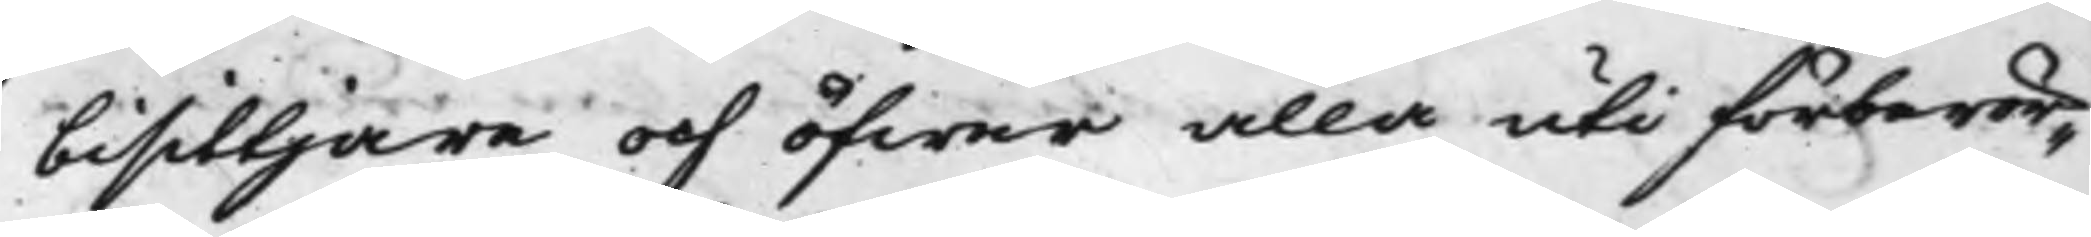bisittjare och öfwer alla uti förberör¬
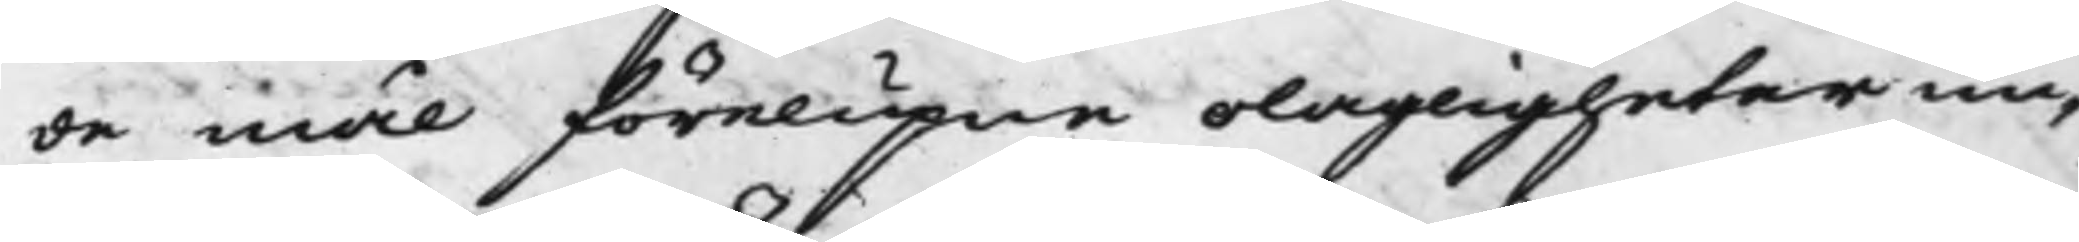de mål förelupne olagligheter un¬
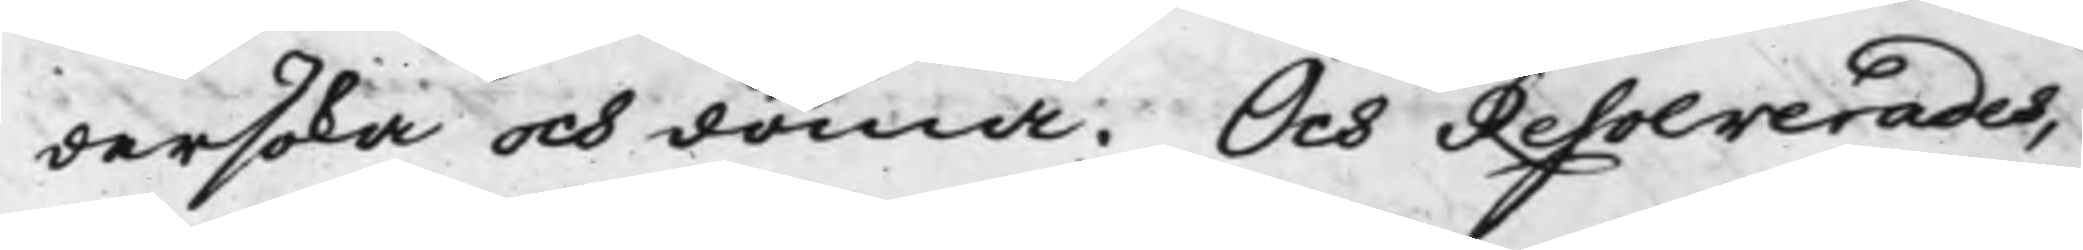dersöka och döma. Och Resolverades,
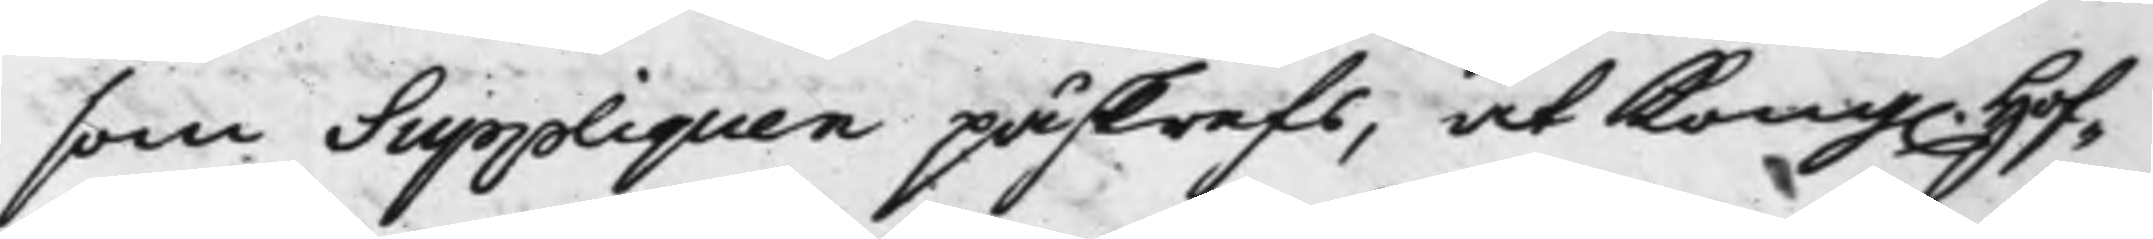som Suppliquen påskrefs, at Kong. Hof¬
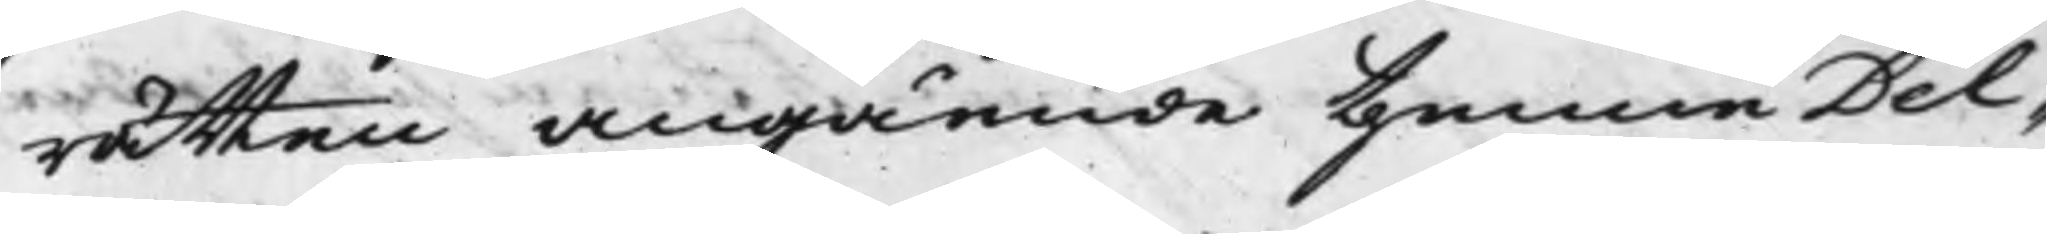rätten Angående thenna Del¬
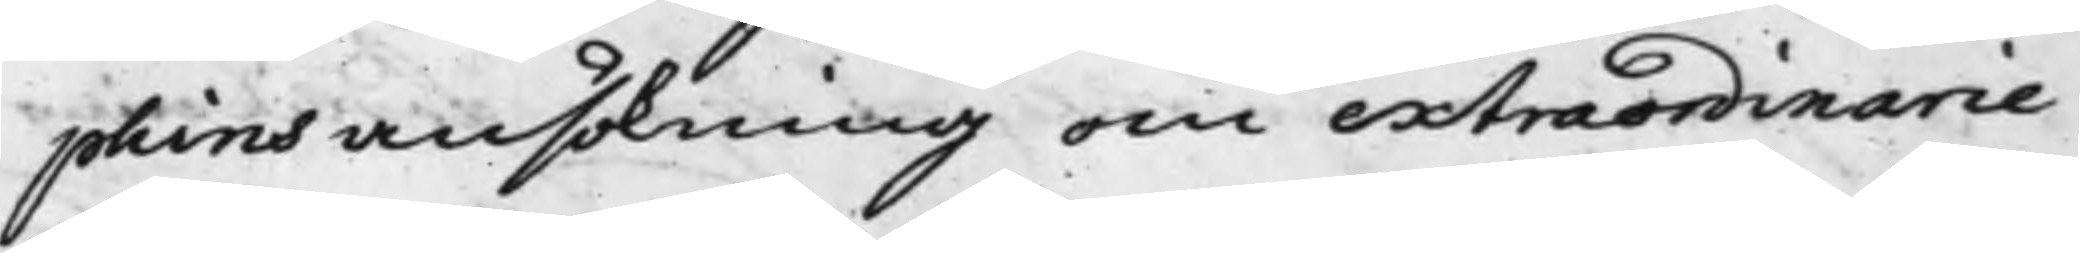phins ansökning om extraordinarie
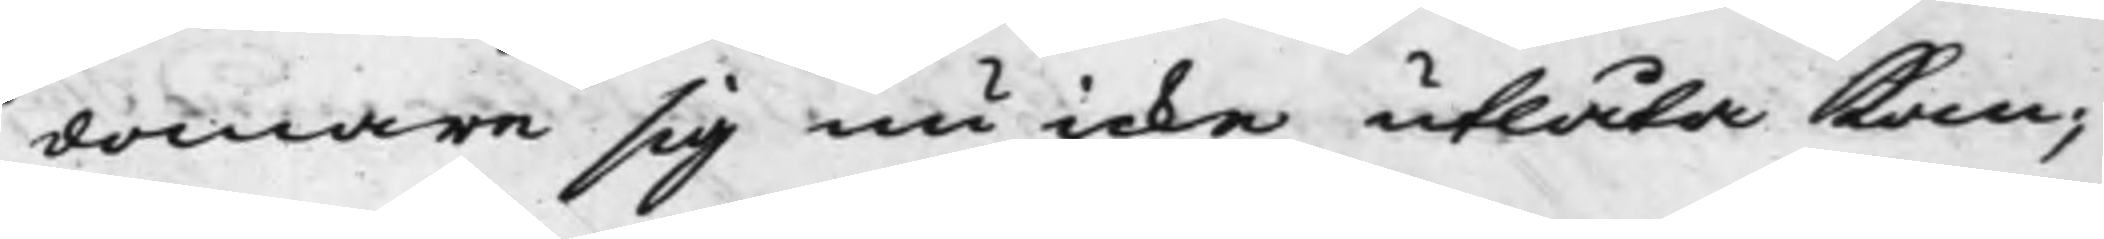domare sig nu icke utlåta kan;
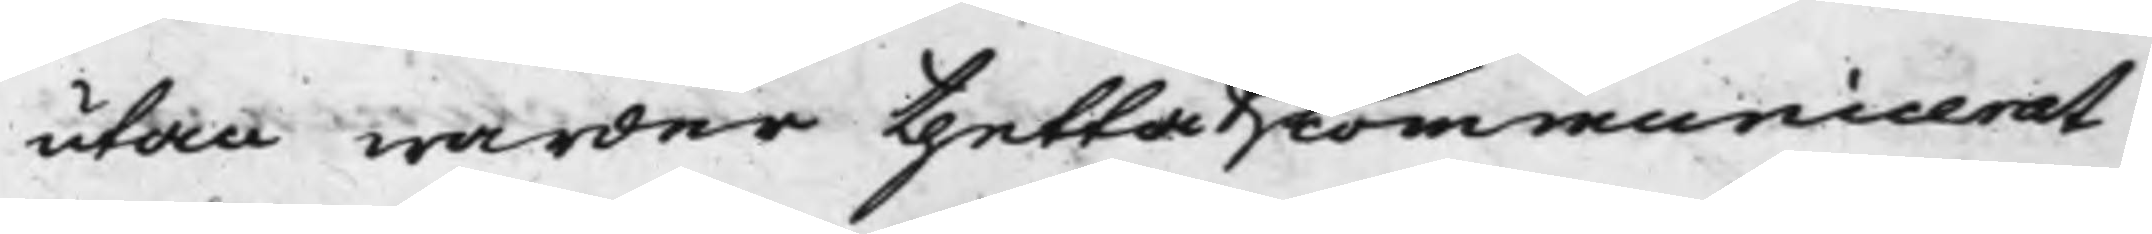utan warder thetta communicerat
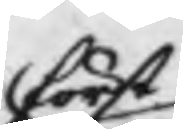först
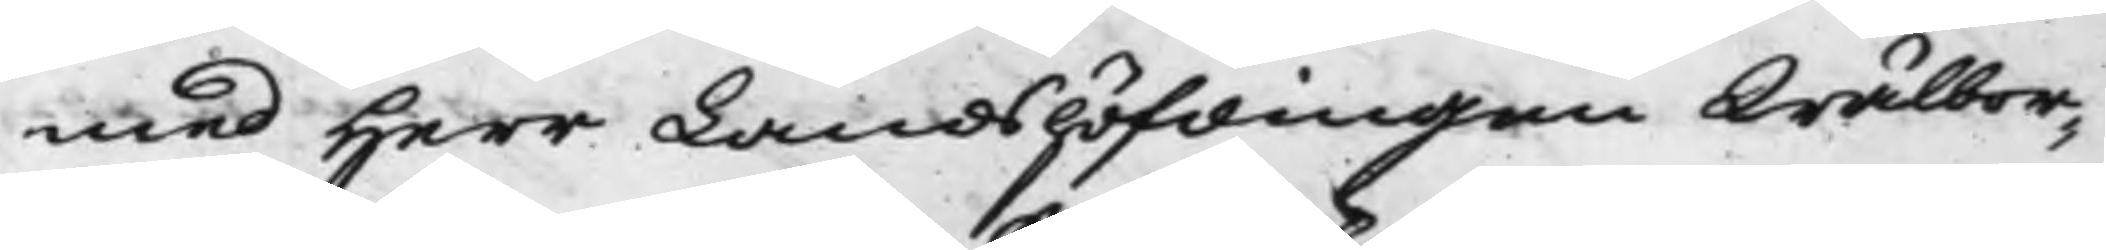med Herr Landshöfdingen Wälbor¬
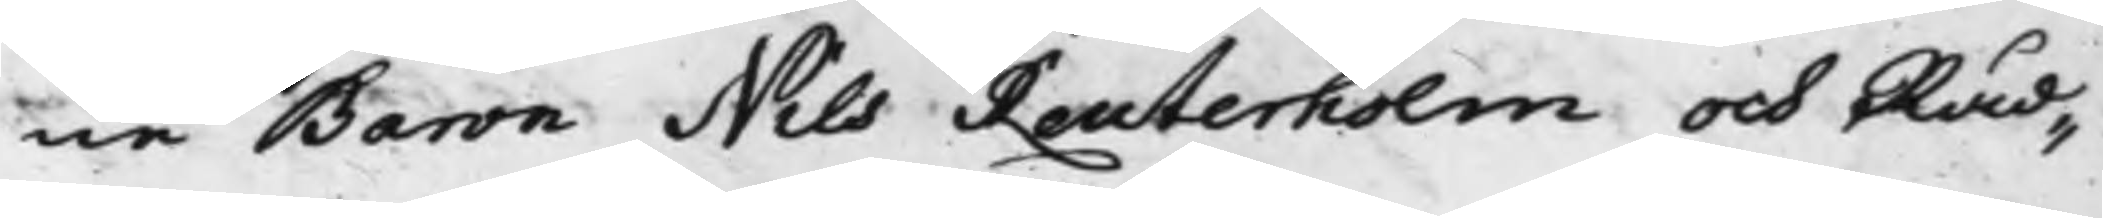ne Baron Nils Reuterholm och Råd¬
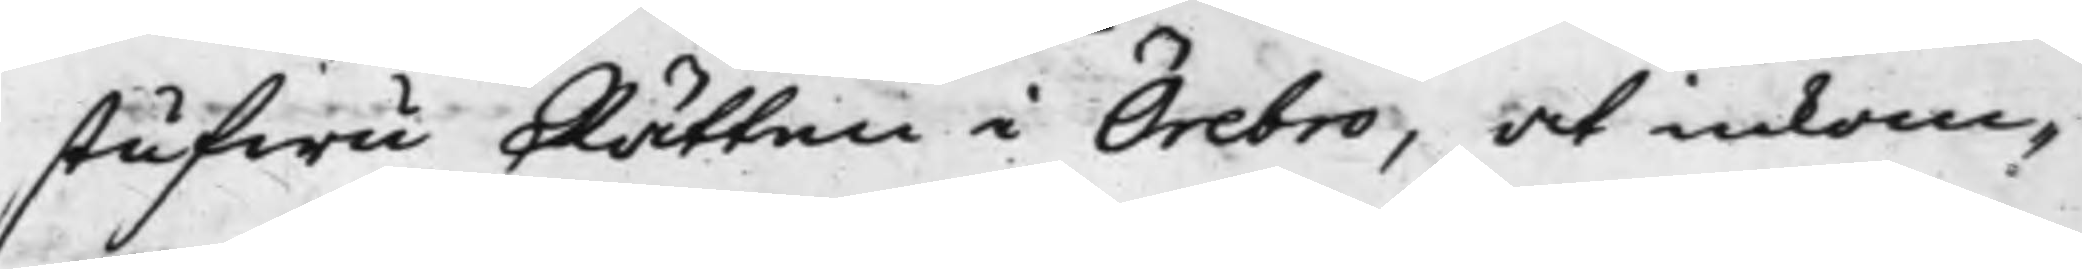stufwu Rätten i Örebro, at inkom¬
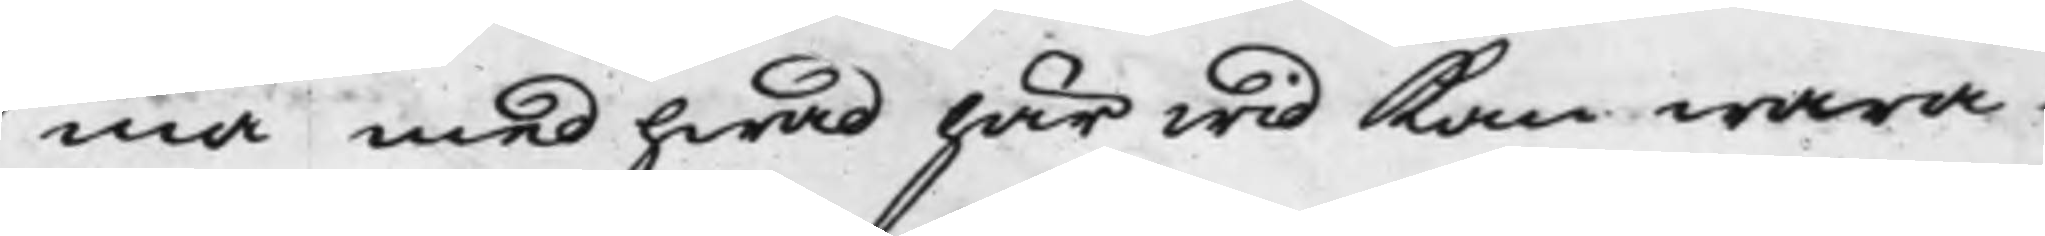ma med hwad här wid Kan wara
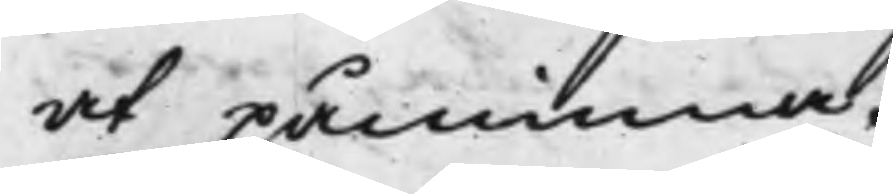at påminna.
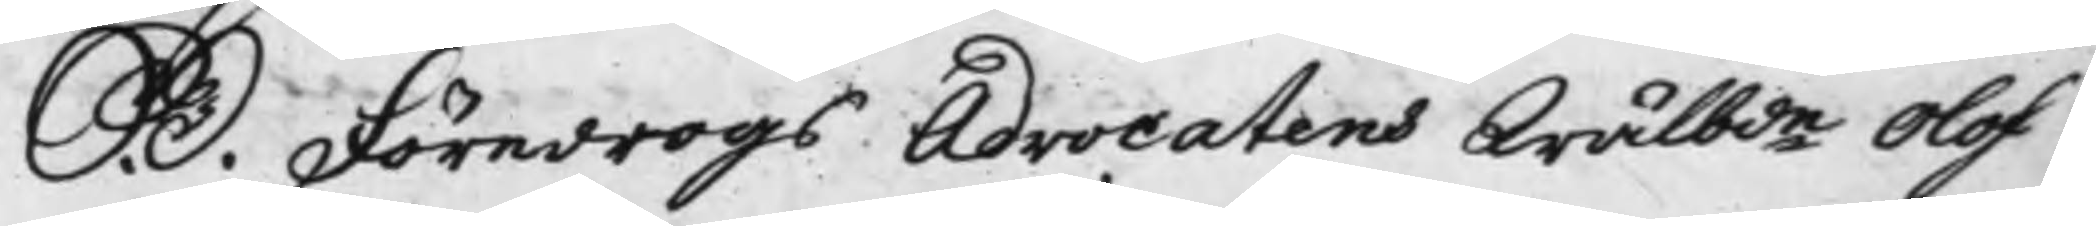S. D. Föredrogs Advocatens Wälbde Olof
